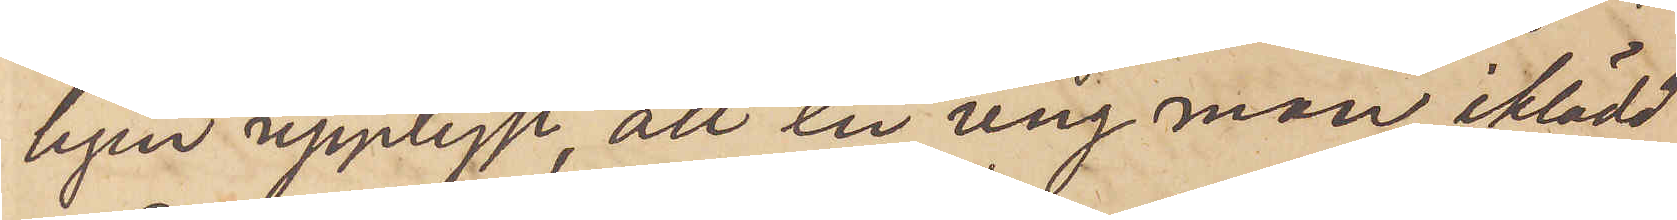ligen upplyst, att en ung man, iklädd
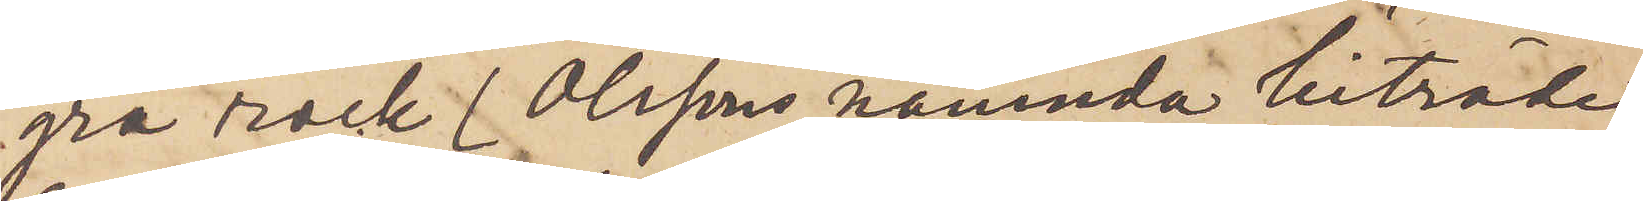grå rock (Olssons nämnda biträde
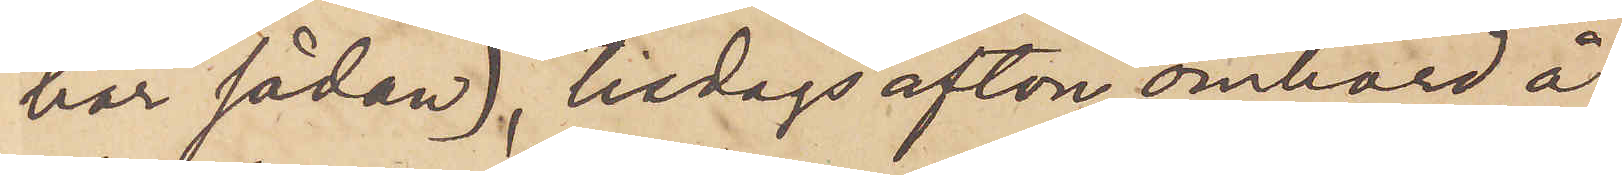har sådan), tisdags afton ombord å
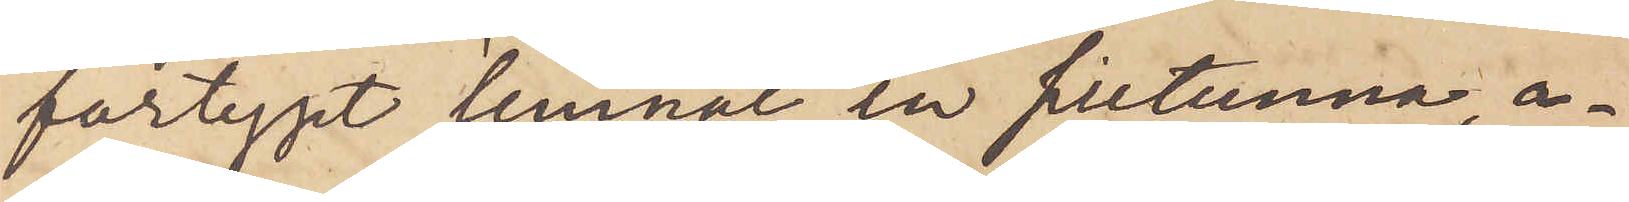fartyget lemnat en silltunna, a¬
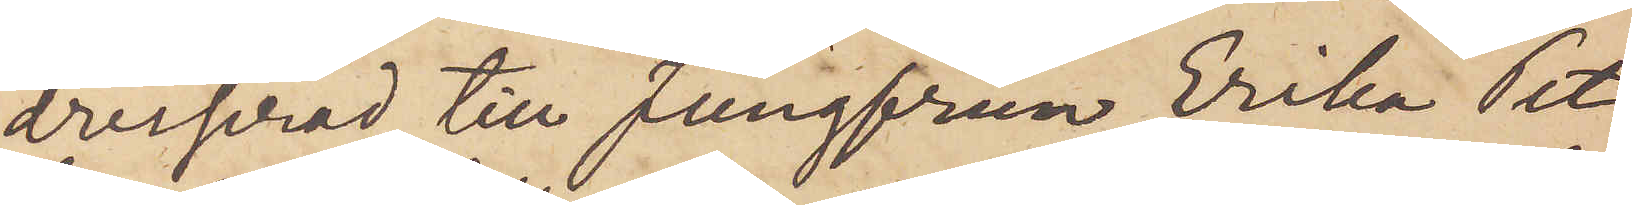dresserad till Jungfrun Erika Pet¬
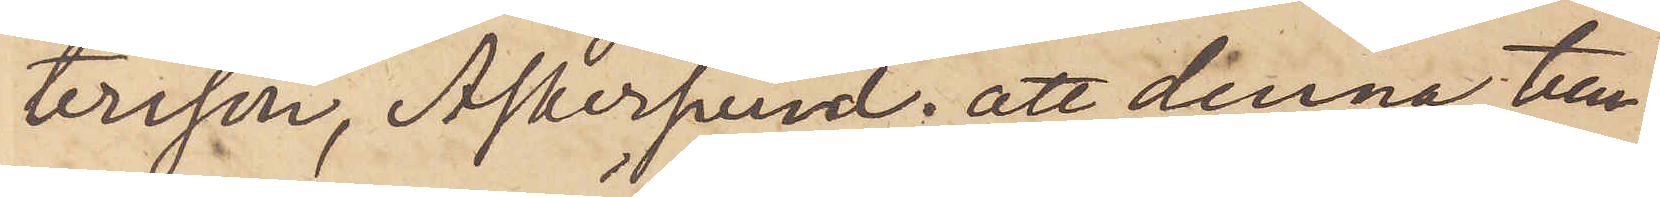tersson, Askersund; att denna tun¬
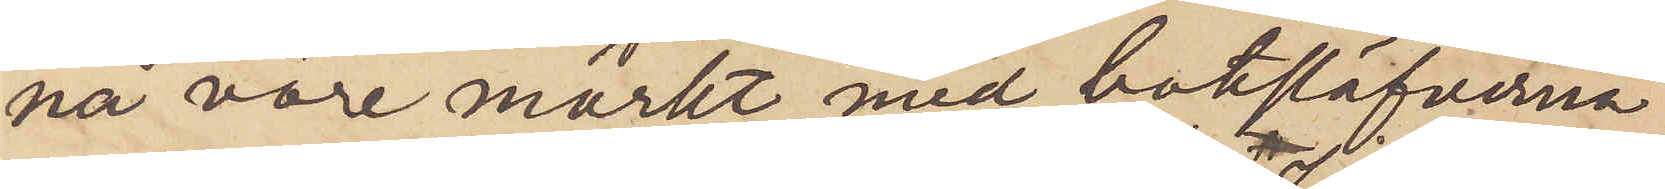na vore märkt med botslöfverna
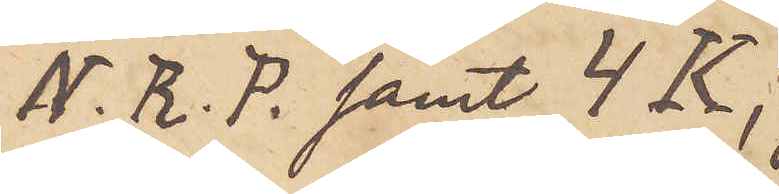N. R. P. samt 4 K;
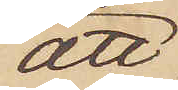att
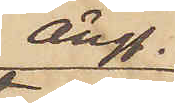ångf.
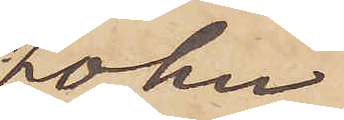John
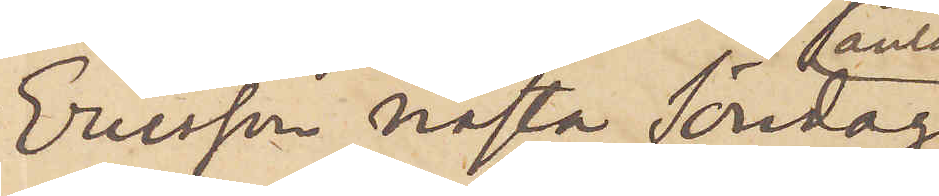Ericson nästa Söndag
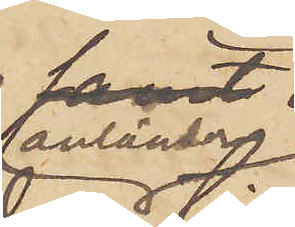anländer
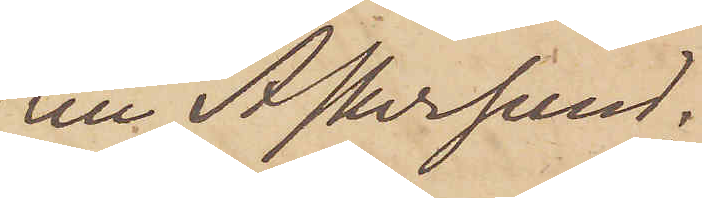till Askersund;
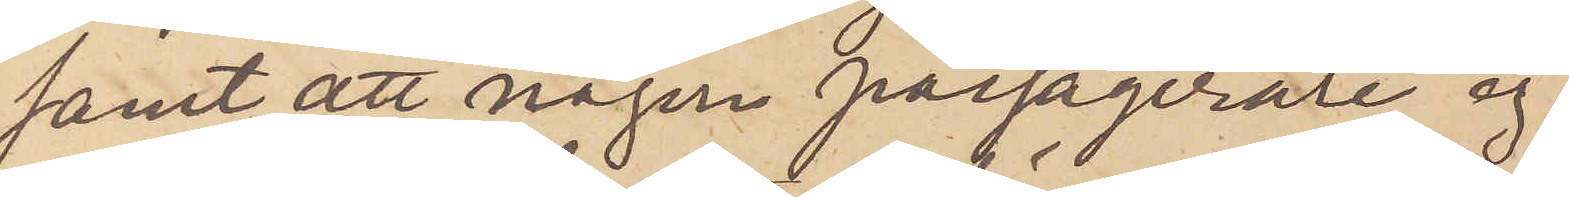samt att någon passagerare ej
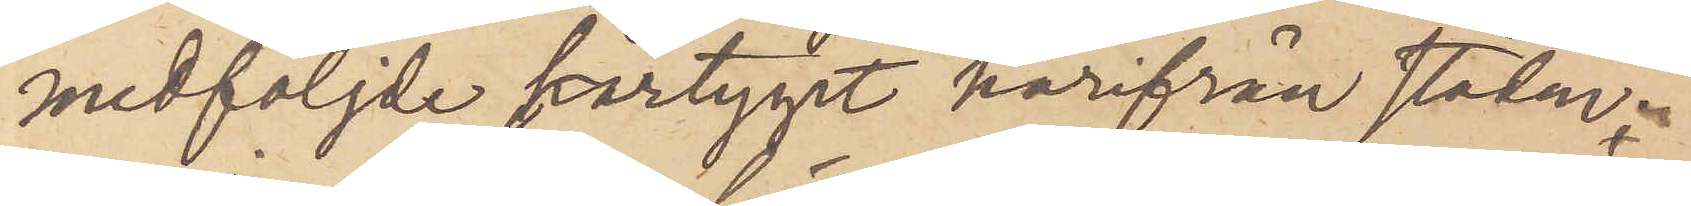medföljde fartyget härifrån staden.
